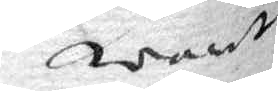warit
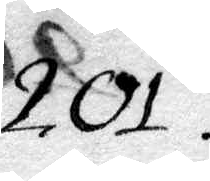201.
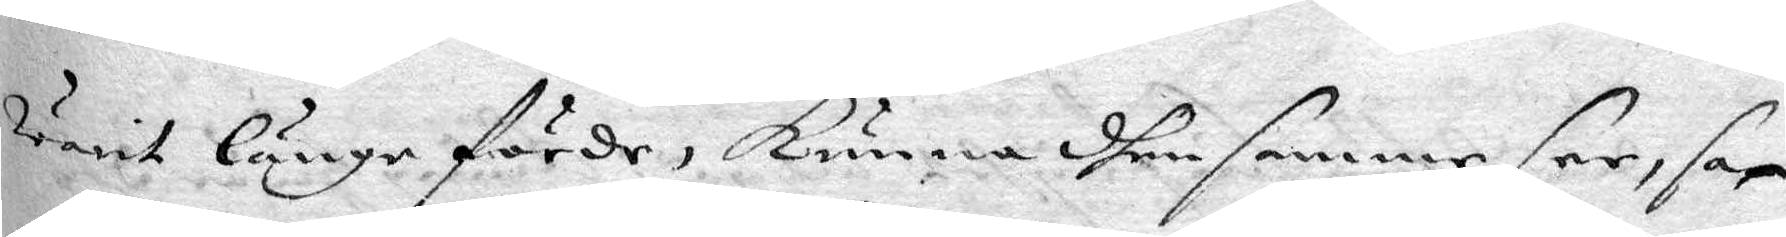warit länge förde, kunna dhen samme see, sa¬
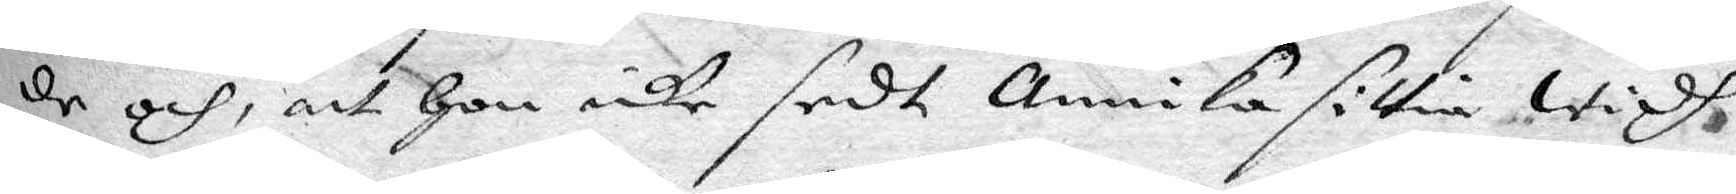de och, att hon icke sedt annika sittia widh
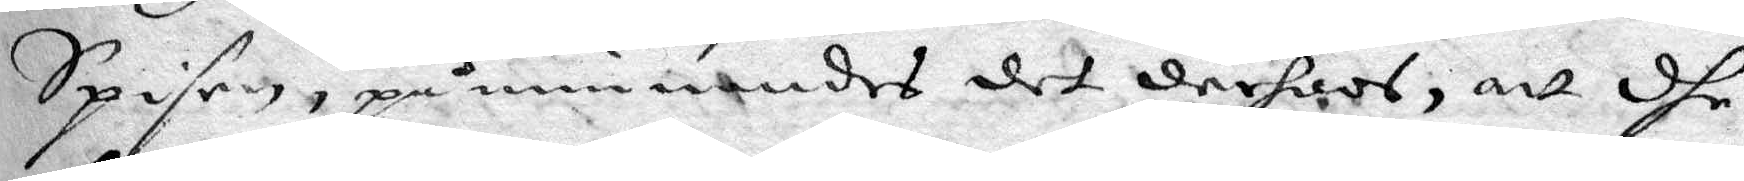Spisen, påminnandes det derhoos, att dhe
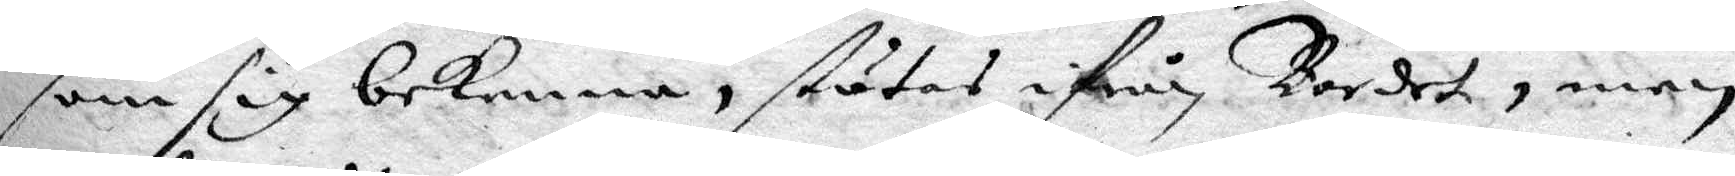som sig bekenna, stutes ifrån Bordet, men
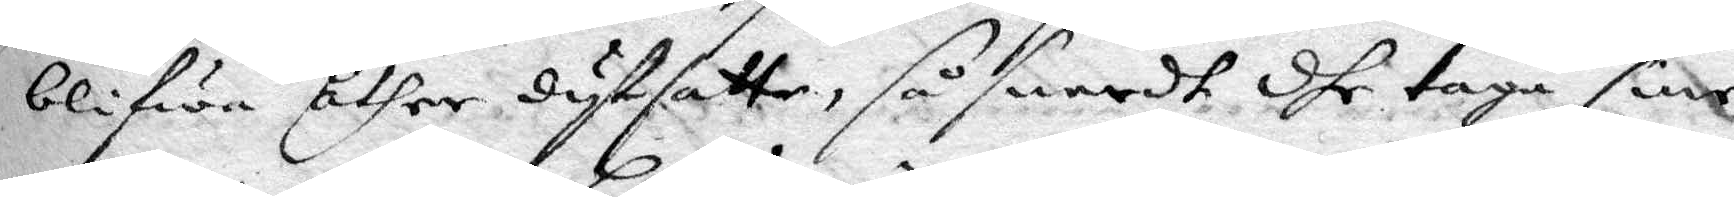blifwa åther dytsatte, så snadt dhe taga sine
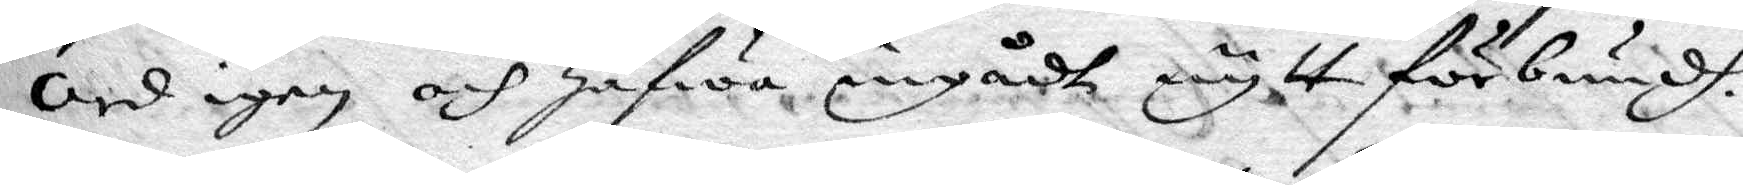ord igen och hafwa ingådt nytt förbundh.
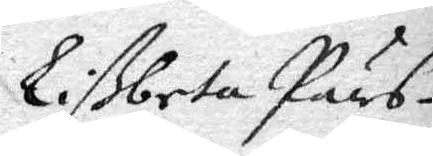Lißbeta Pärs¬
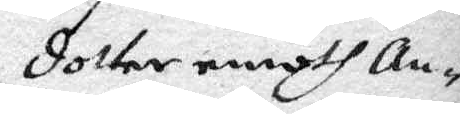dotter emoth an¬
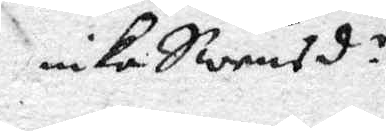nika Swensd.r
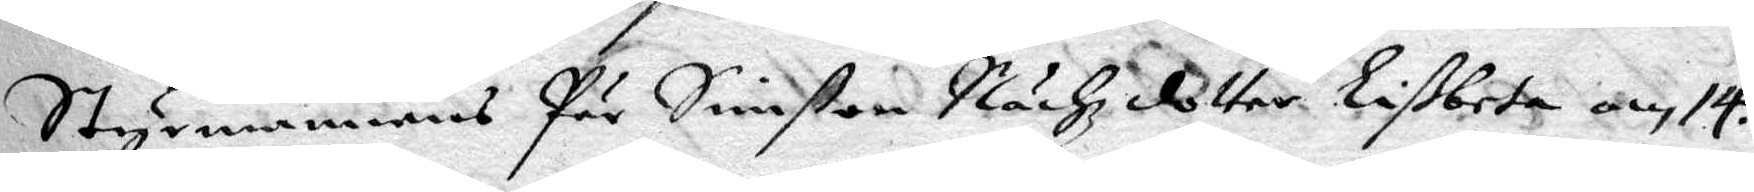Styrmannens Pär Simßon Nächz dotter Lißbeta om 14.
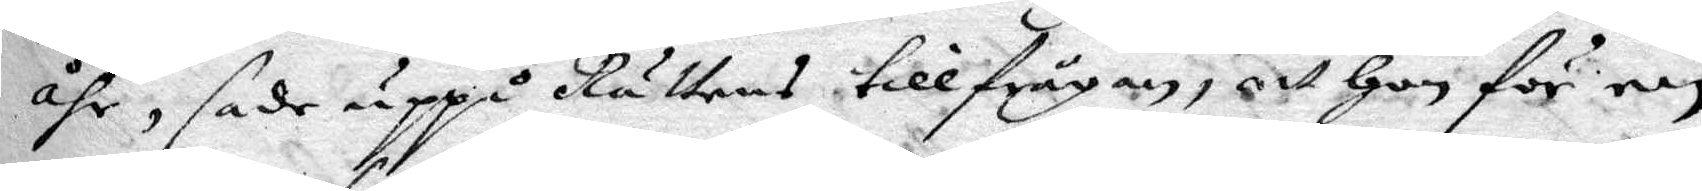åhr, sade uppå Rättens tillfrågan, att hon för en
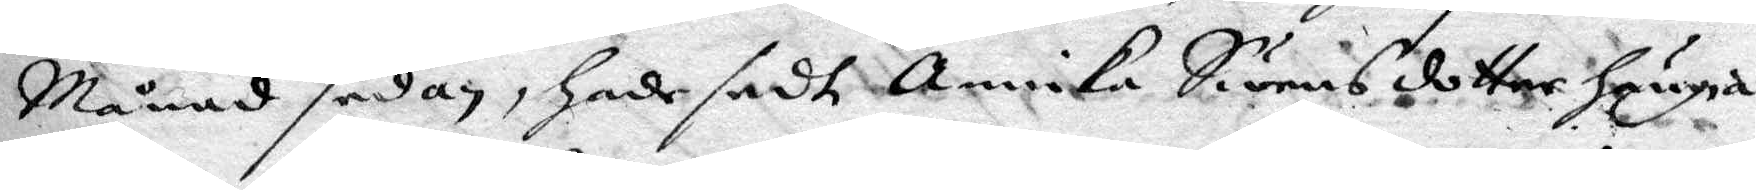Månad sedan, hade sedt annika Swensdotter hänga
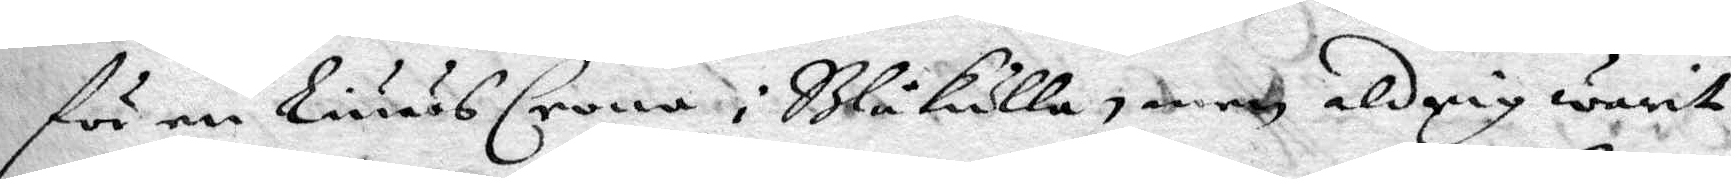för en liuusCrona i Blåkulla, men aldrig warit
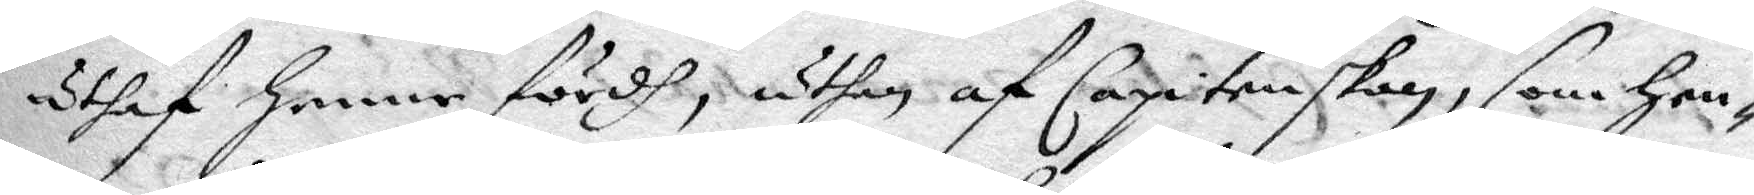uthaf henne fördh, uthan af Capitenskan, som hen¬
